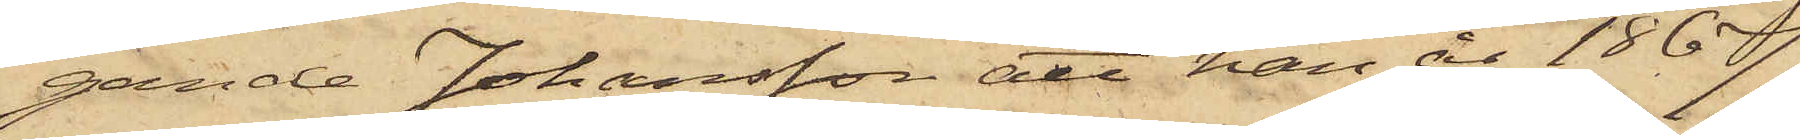gande Johansson att han år 1867
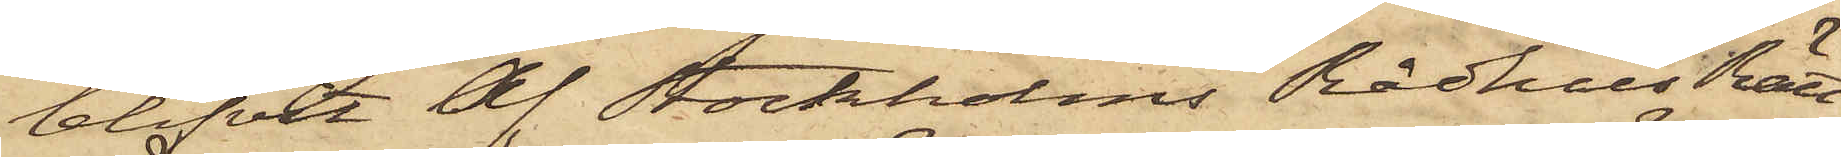blifvit af Stockholms RådhusRätt
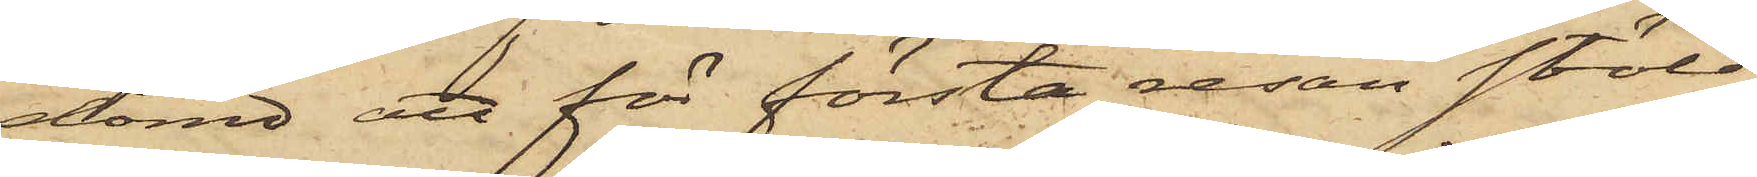dömd att för första resan stöld
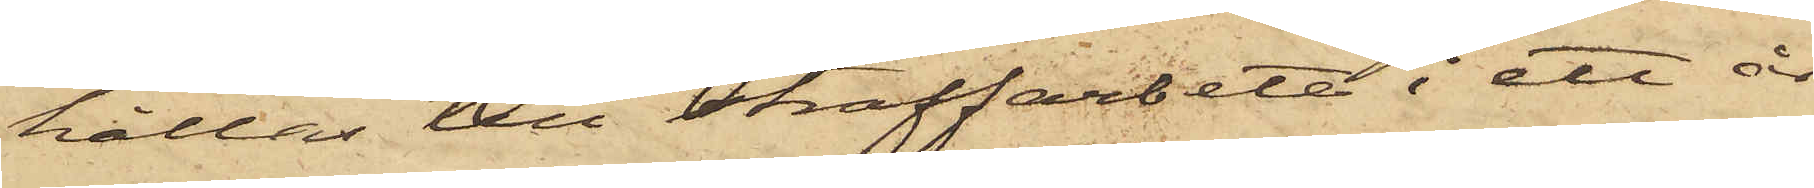hållas till straffarbete i ett år
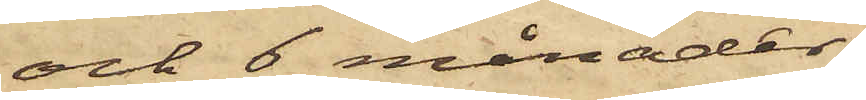och 6 månader.
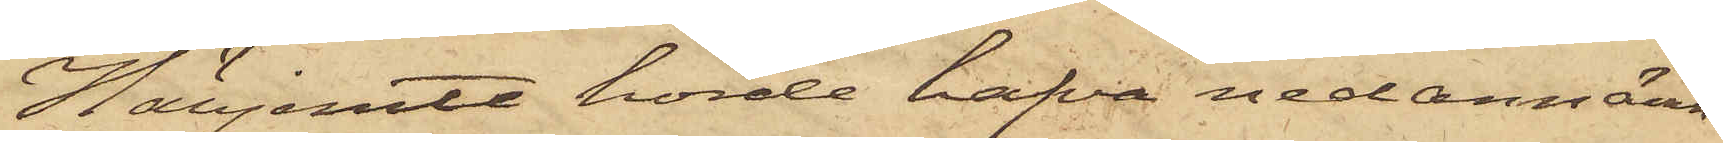Härjemte hörde hafva nedannämn¬
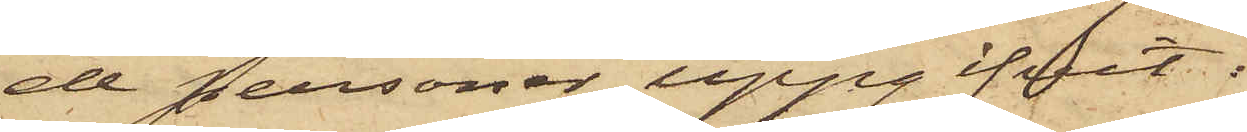de personer uppgifvit:
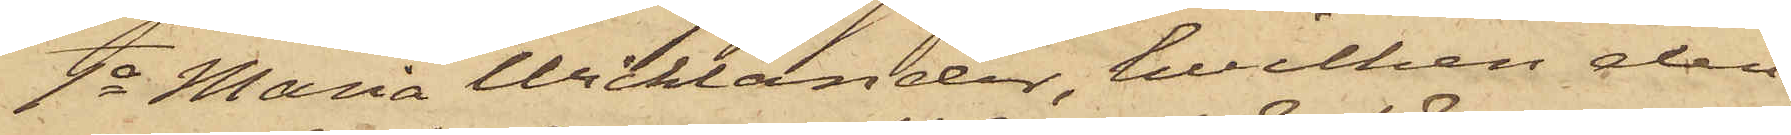1o Maria Wicklander, hvilken den
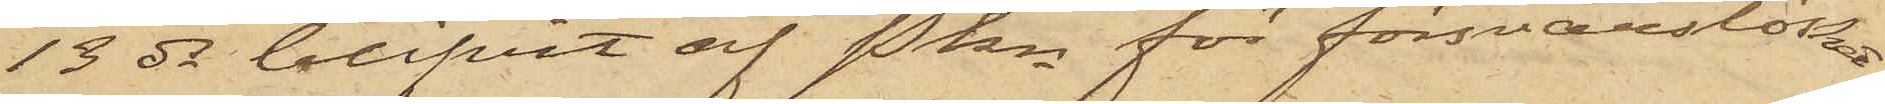13 ds blifvit af Pkn för försvarslöshet
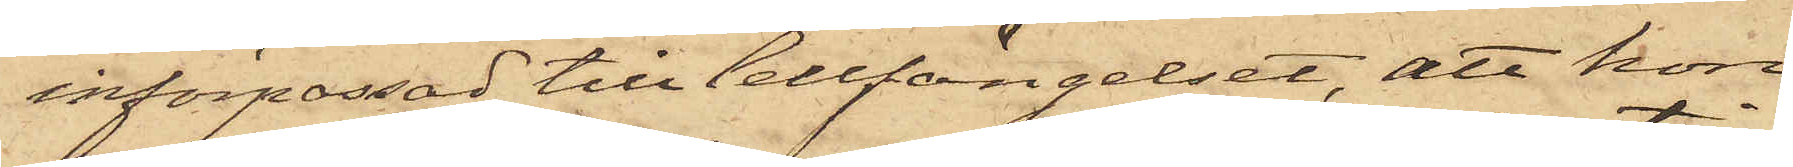införpassad till Cellfängelset, att hon
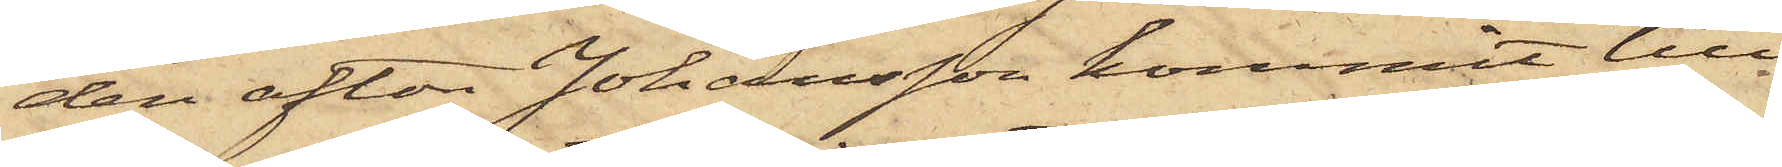den afton Johansson kommit till
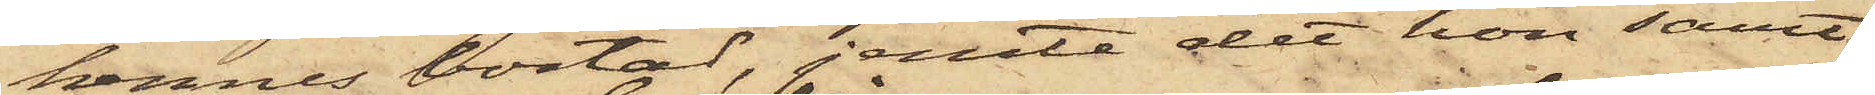hennes bostad, jemte det hon samt
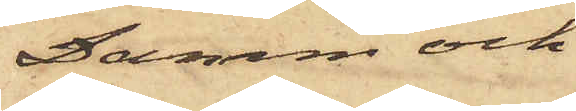Damm och
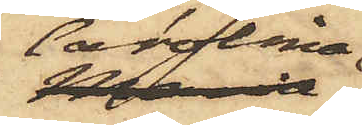Carolina
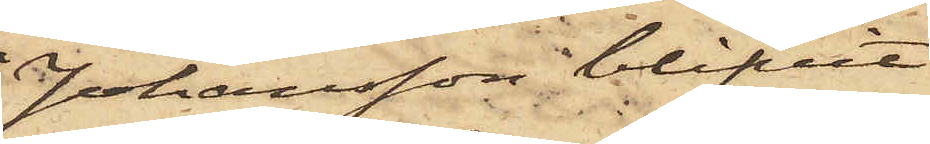Johansson blifvit
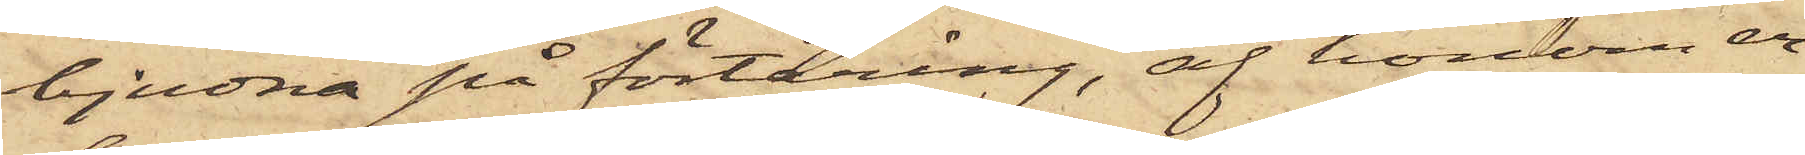bjudna på förtäring, af honom er¬
